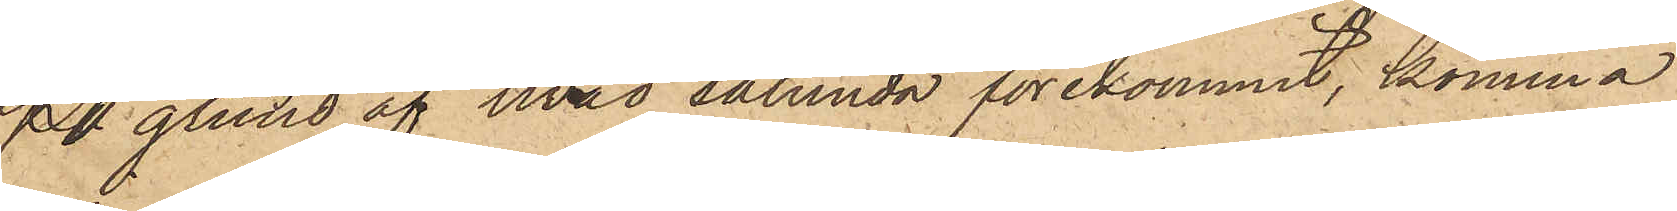På grund af hvad sålunda förekommit, komma
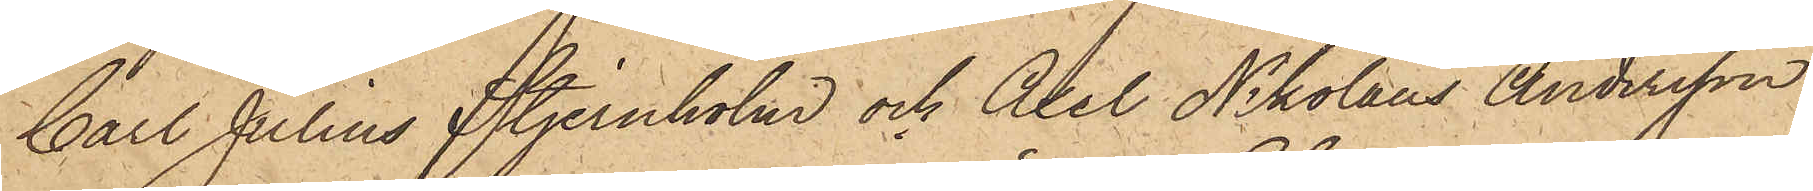Carl Julius Stjernholm och Axel Nikolaus Andersson
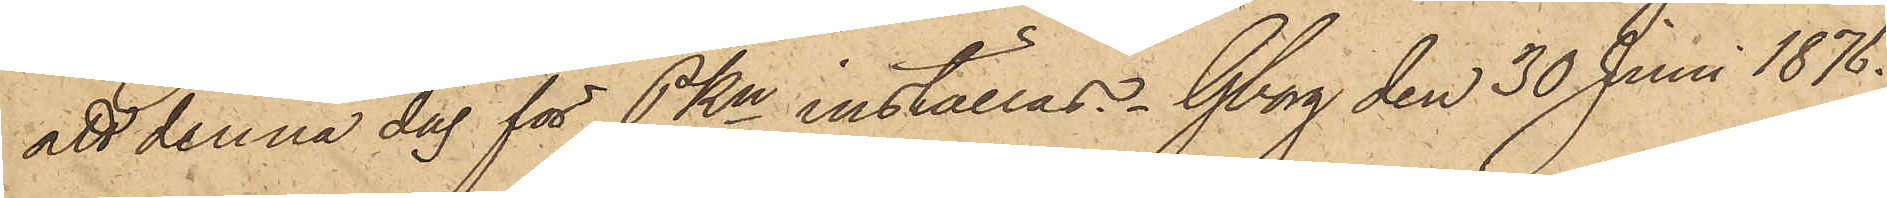att denna dag för PKn inställas. Gborg den 30 Juni 1876.
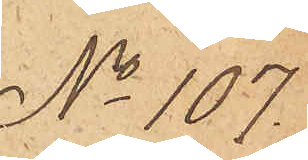No 107
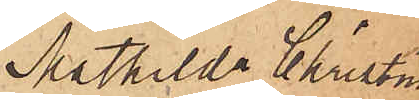Mathilda Christina
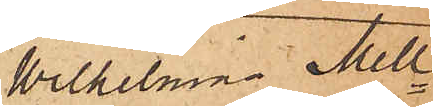Wilhelmina Mell¬
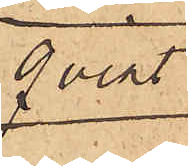qvist
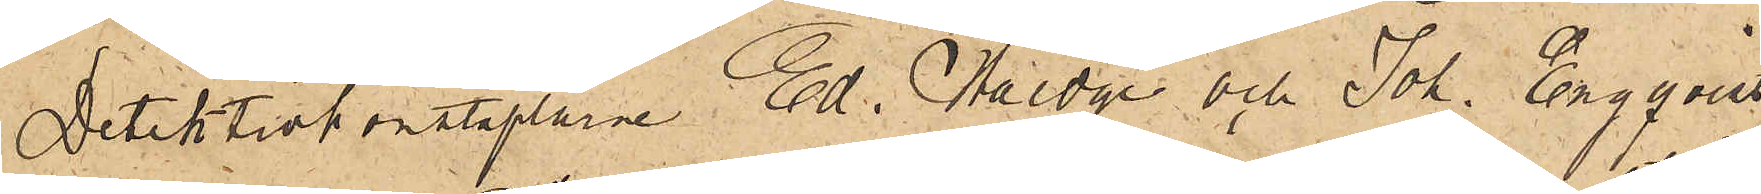Detektivkonstaplarne Ed. Haedge och Joh. Engqvist
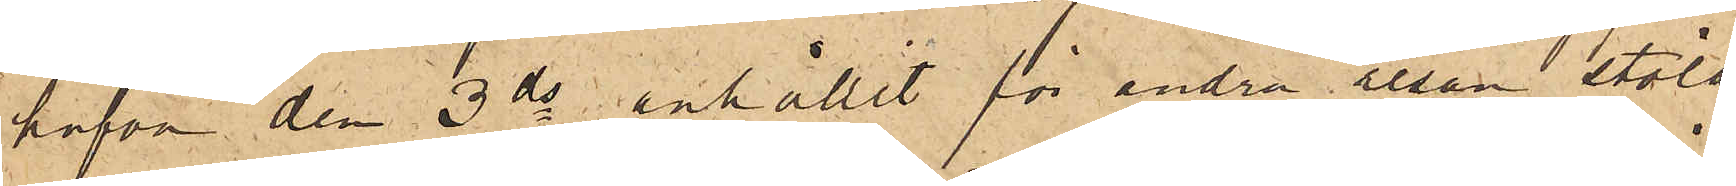hafva den 3 ds anhållit för andra resan stöld
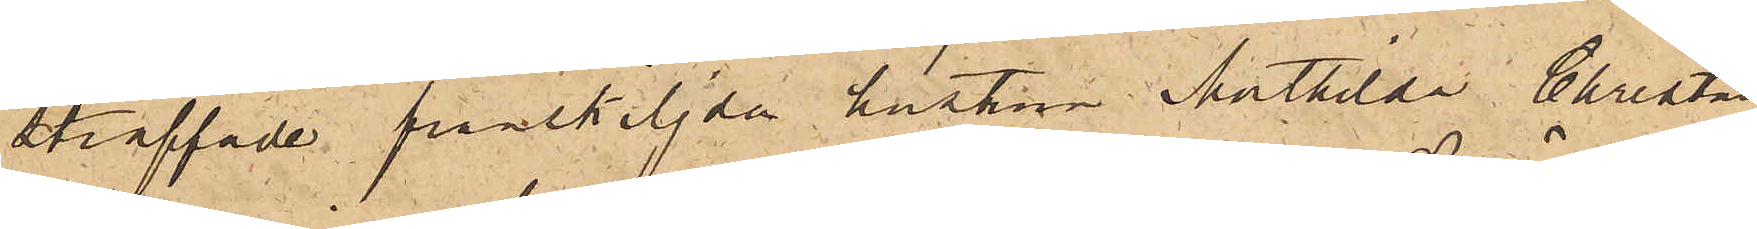straffade frånskiljda hustrun Mathilda Christina
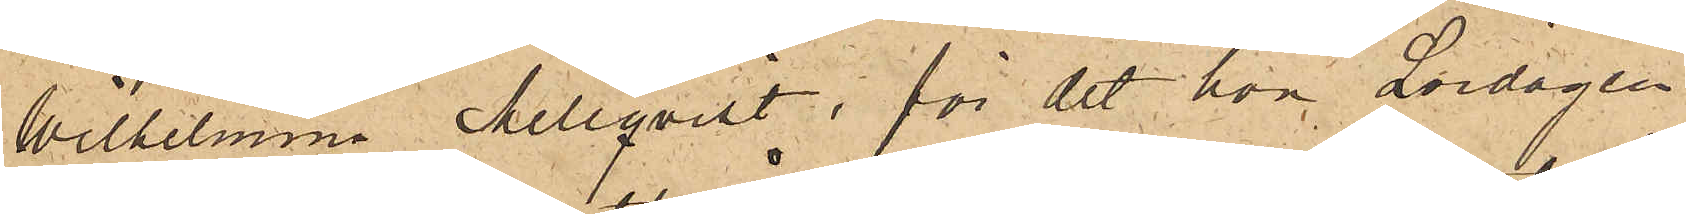Wilhelmina Mellqvist för det hon Lördagen
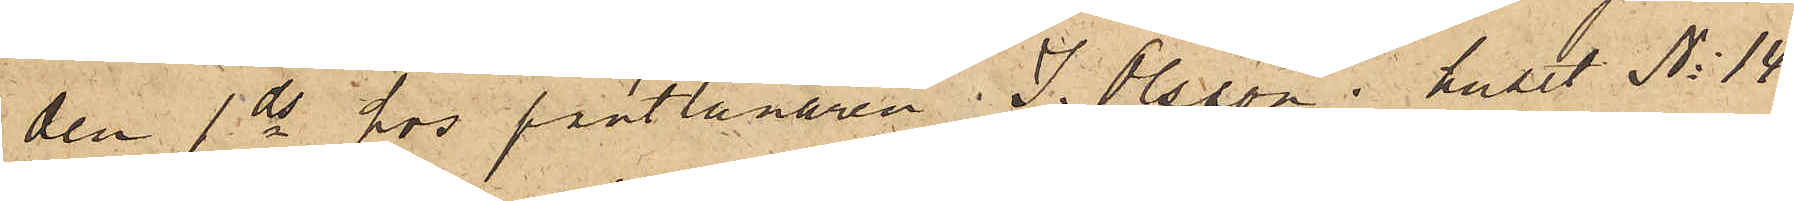den 1 ds hos Pantlånaren J. Olsson i huset No 14
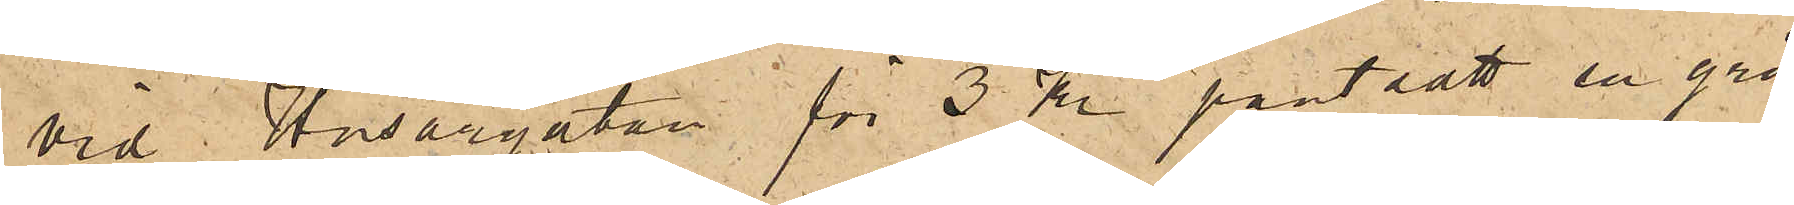vid i Husargatan för 3 Kr pantsatt en grå
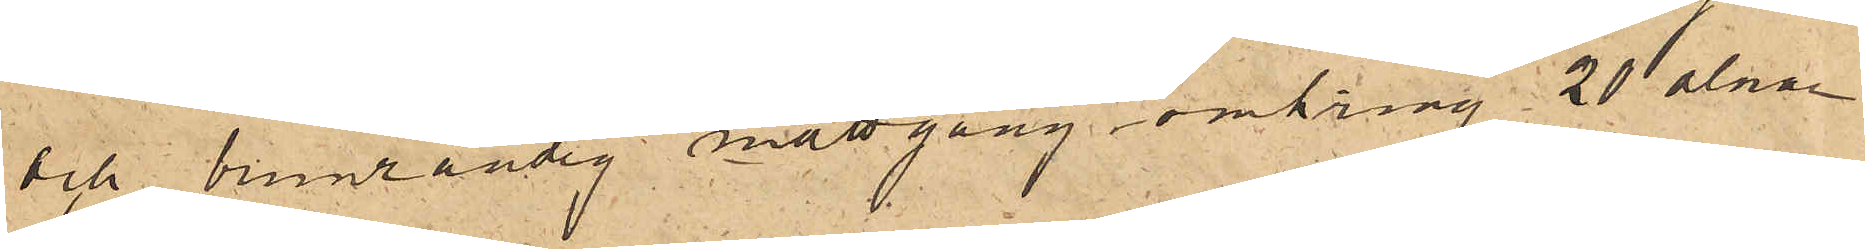och brunrandig mattgång omkring 20 alnar
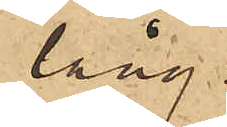lång.
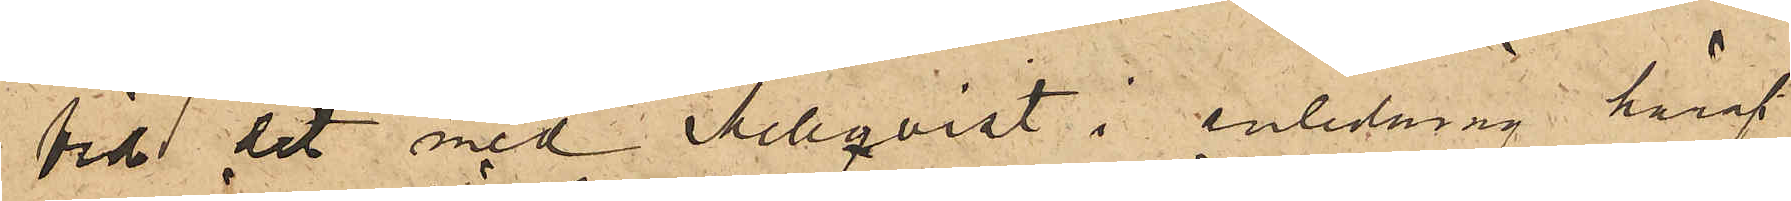Vid det med Mellqvist i anledning häraf
